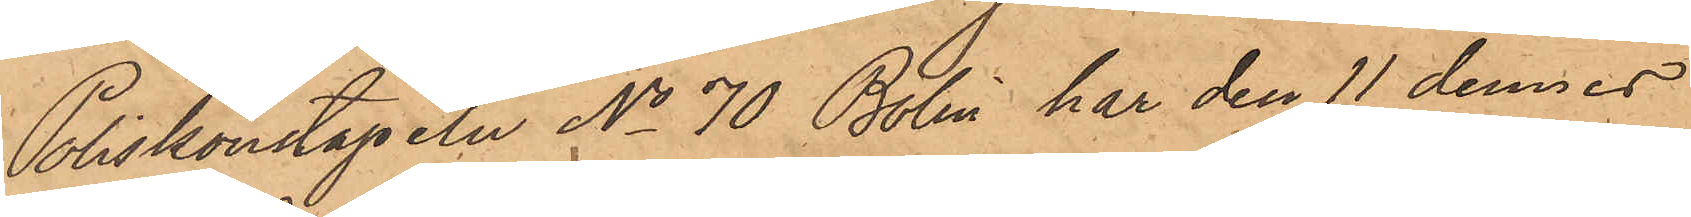Poliskonstapeln No 70 Bolin har den 11 dennes
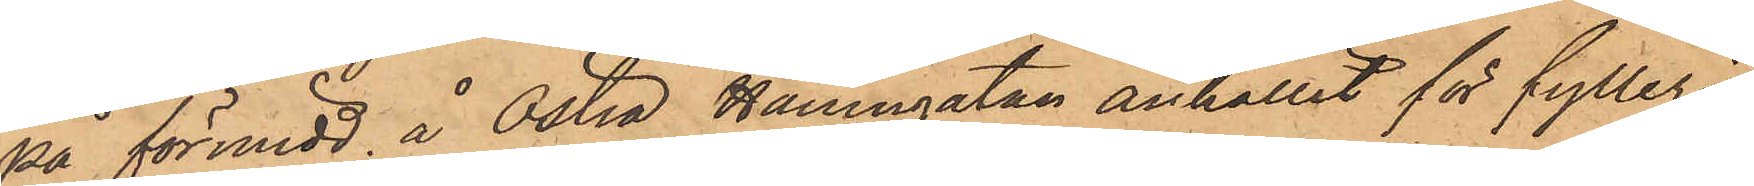på förmidd. å Östra Hamngatan anhållit för fylleri
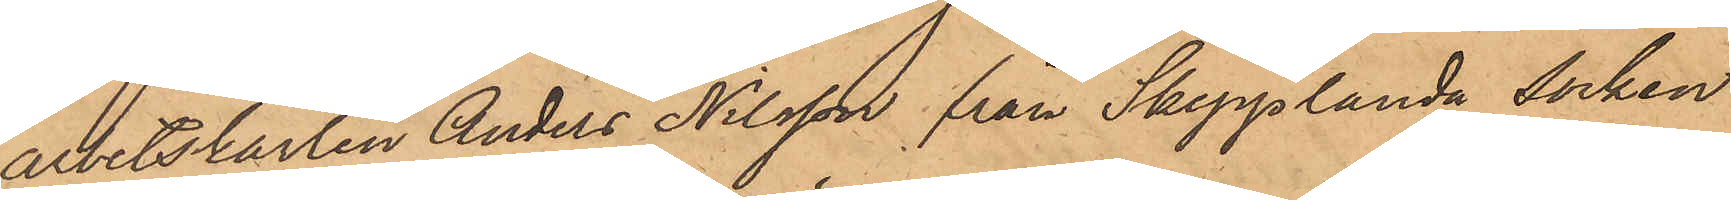arbetskarlen Anders Nilsson från Skepplanda socken
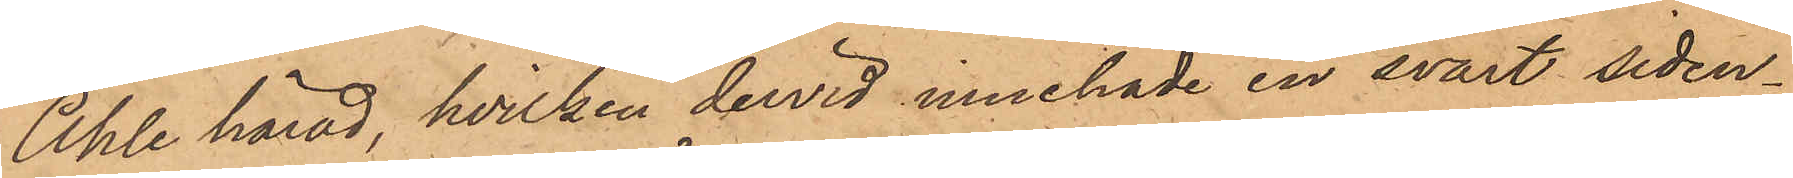Ahle härad, hvilken dervid innehade en svart siden¬
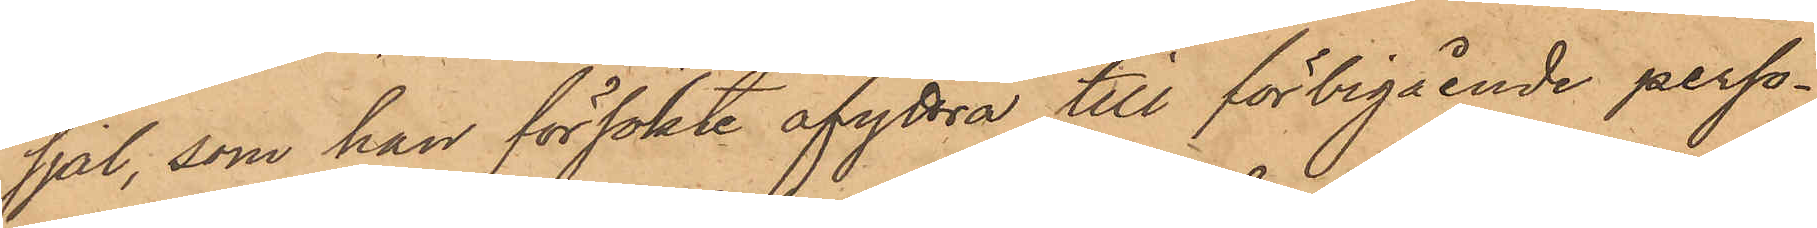sjal, som han försökte afyttra till förbigående perso¬
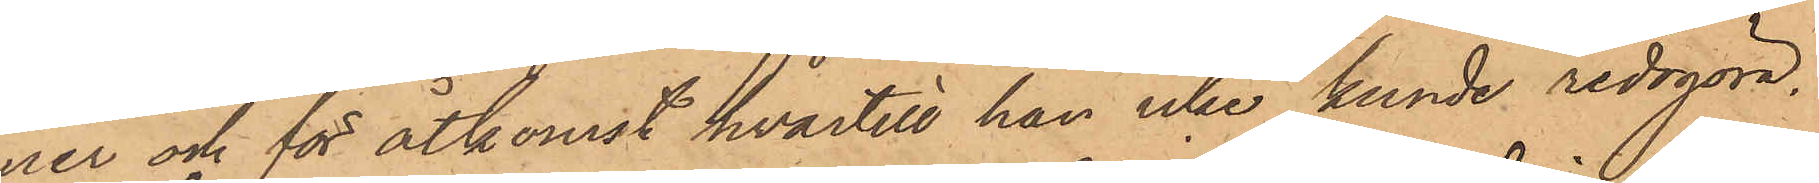ner och för åtkomst hvartill han icke kunde redogöra.
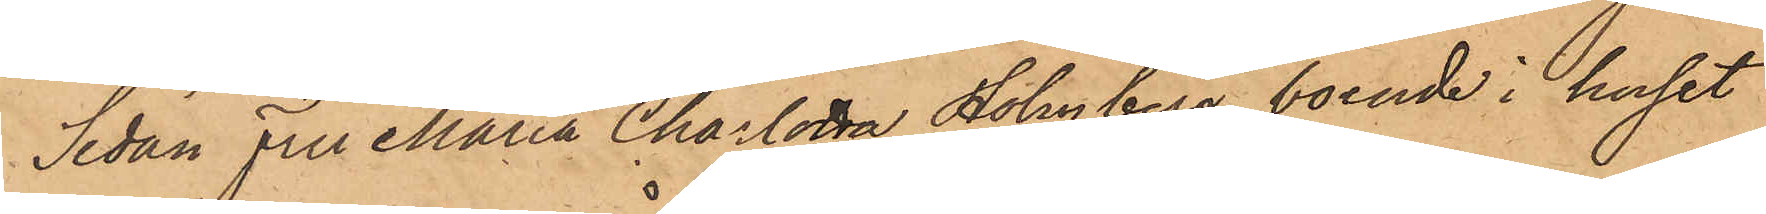Sedan Fru Maria Charlotta Holmberg, boende i huset
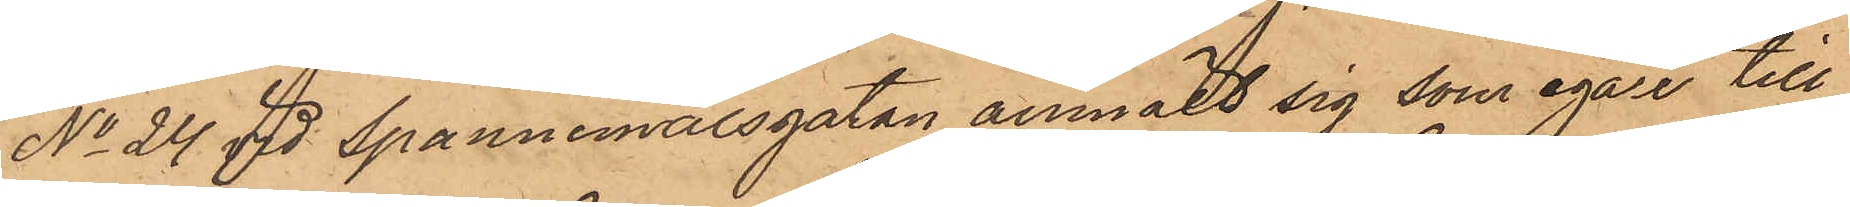No 24 vid Spannmålsgatan anmält sig som egare till
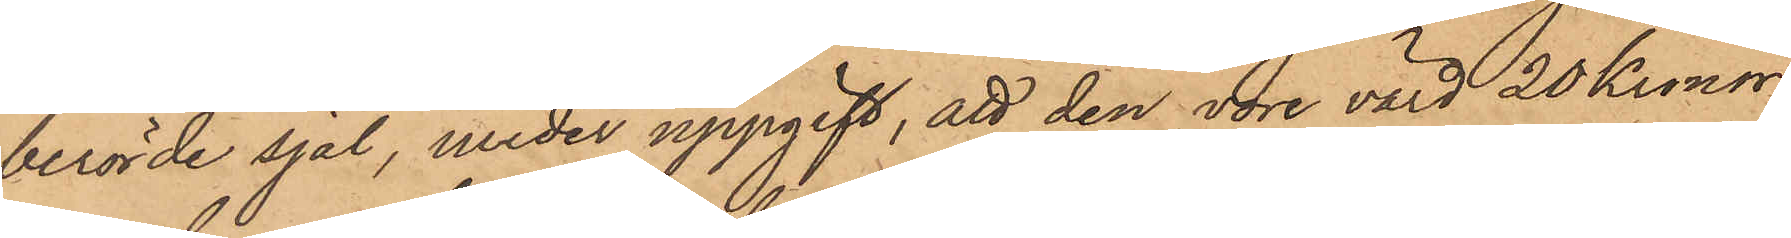berörde sjal, under uppgift, att den vore värd 20 Kronor,
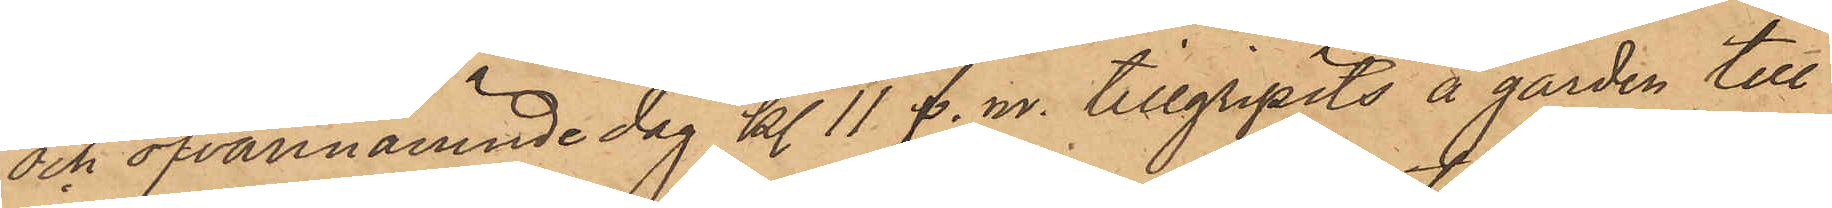och ofvannämnde dag kl. 11 f. m. tillgripits å gården till
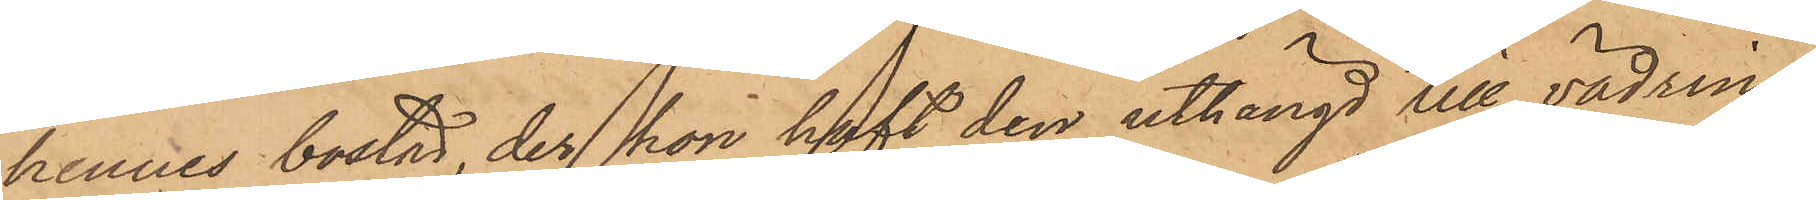hennes bostad, der hon haft den uthängd till vädring,
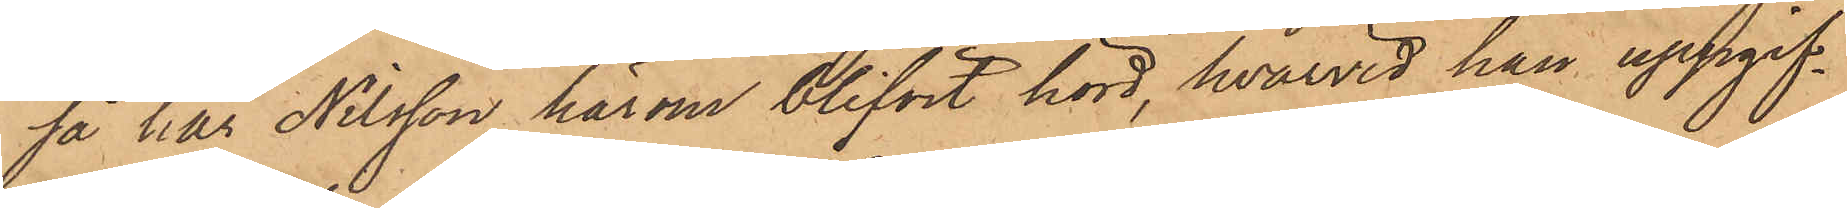så har Nilsson härom blifvit hörd, hvarvid han uppgif¬
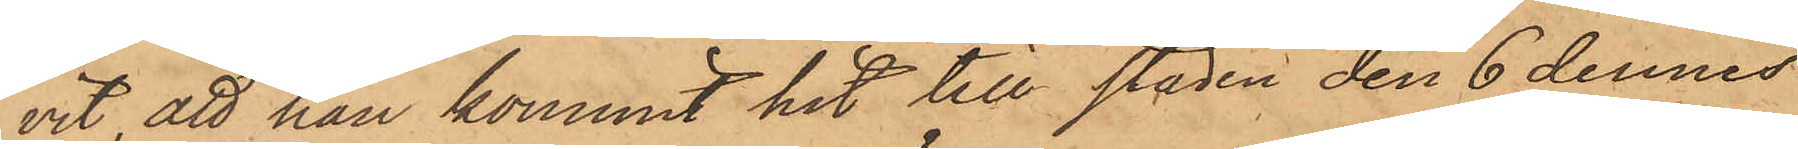vit att han kommit hit till staden den 6 dennes
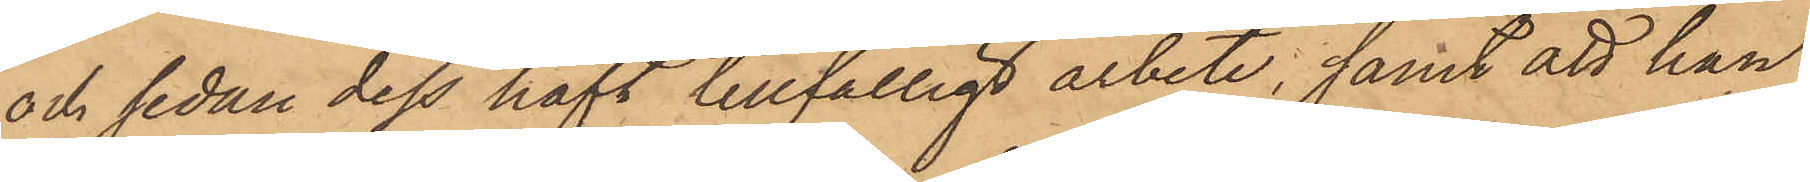och sedan dess haft tillfälligt arbete; samt att han
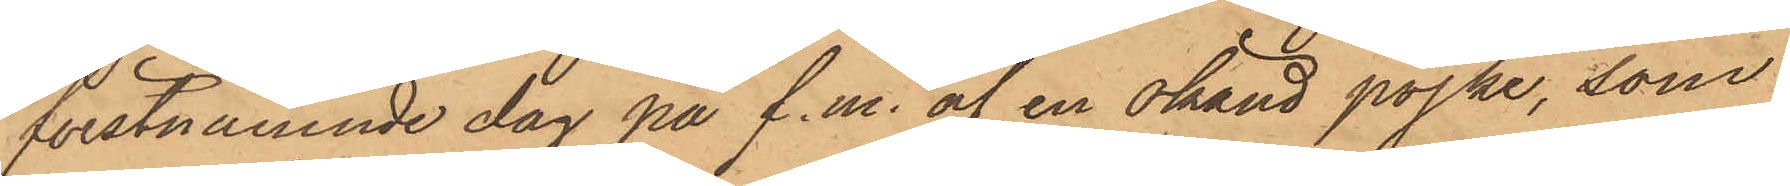förstnämnde dag på f.m. af en okänd pojke, som
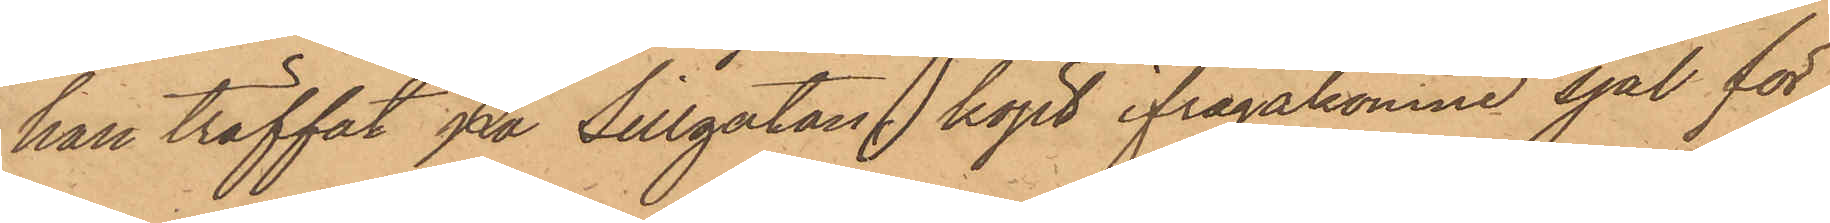han träffat på Sillgatan, köpt ifrågakomne sjal för
